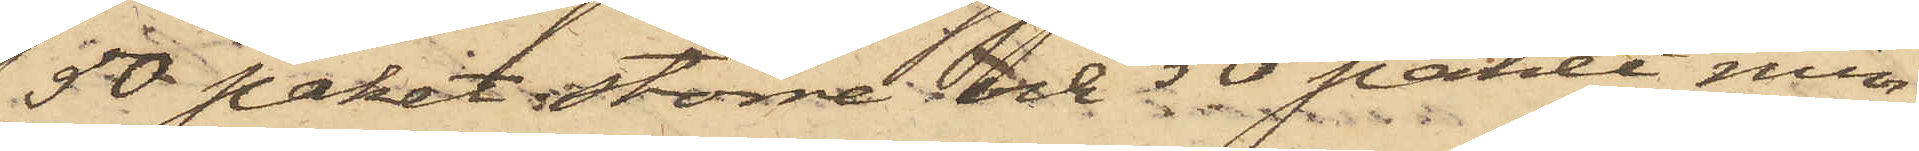50 paket större och 50 paket min¬
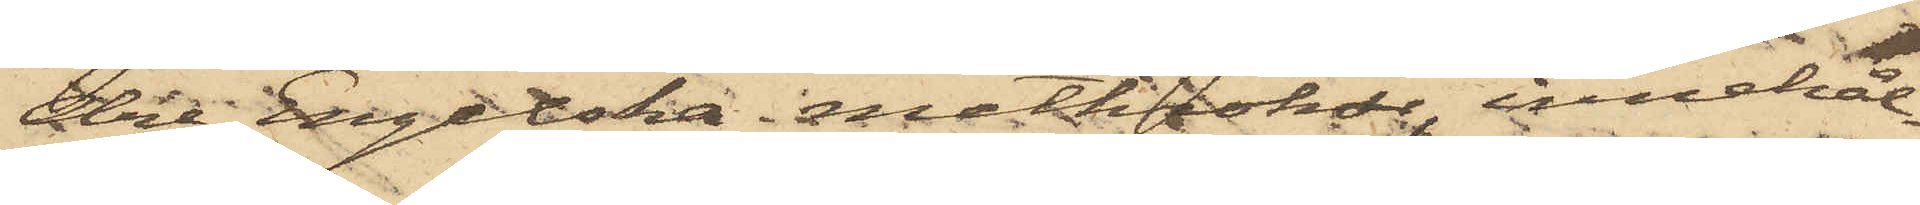dre Engelska metkrokar, innehål¬
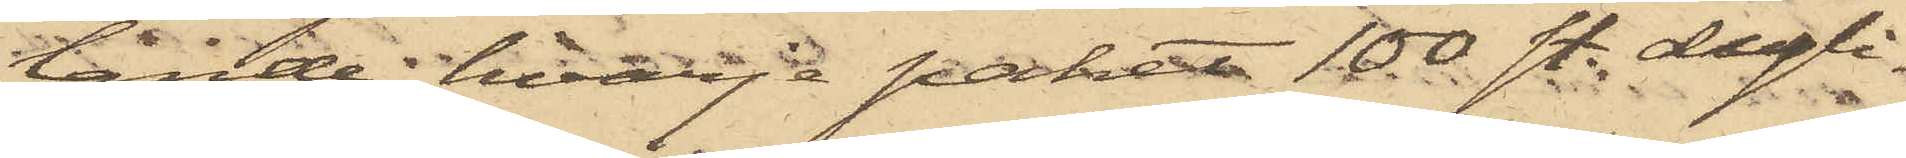lande hvarje paket 100 st. dyli¬
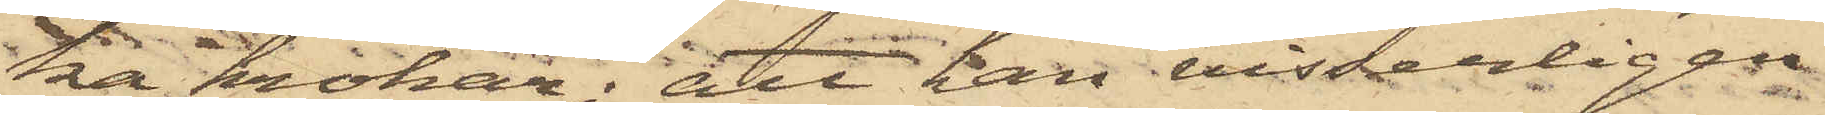ka krokar; att han visserligen
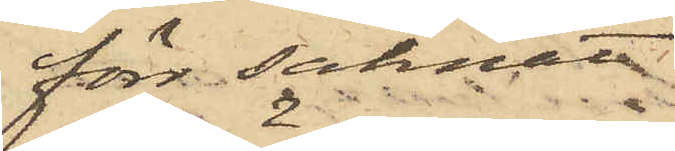förr saknat
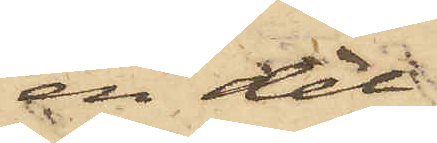en del
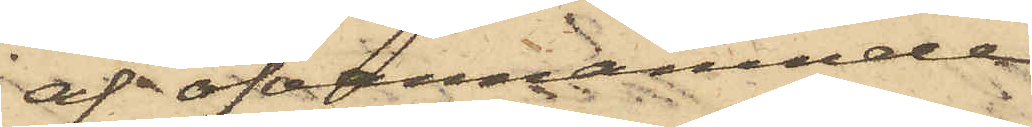af ofvannämnde
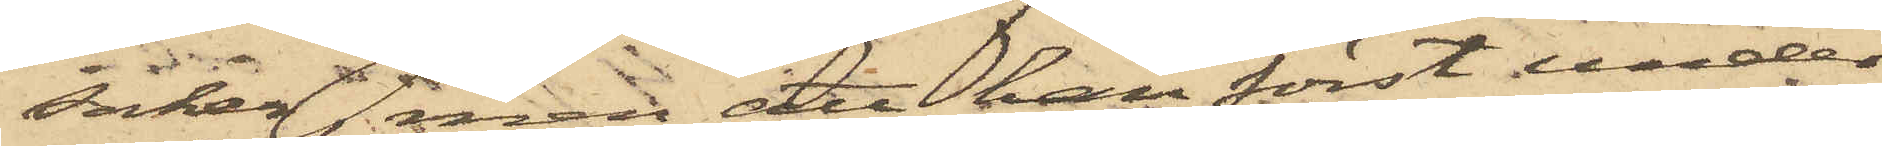saker, men att han först under
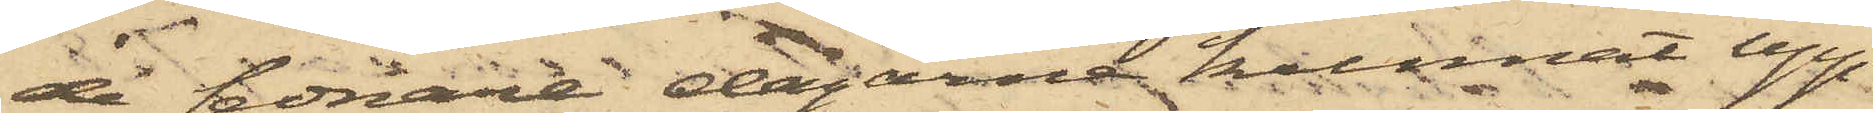de sednare dagarne kunnat upp¬
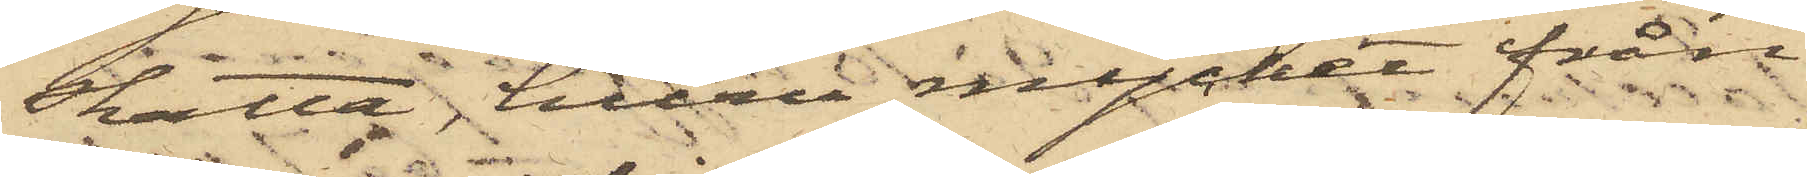skatta, huru mycket från
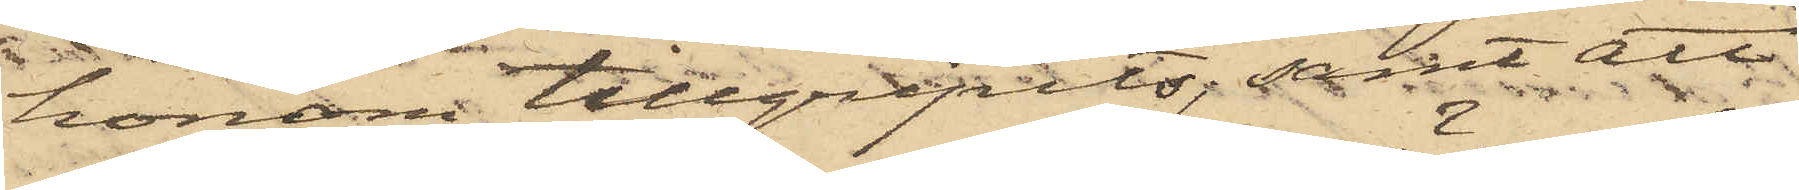honom tillgripits; samt att
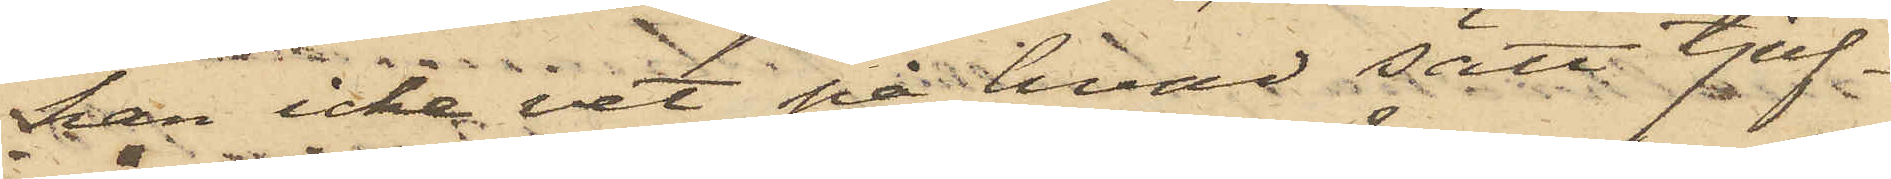han icke vet på hvad sätt tjuf¬
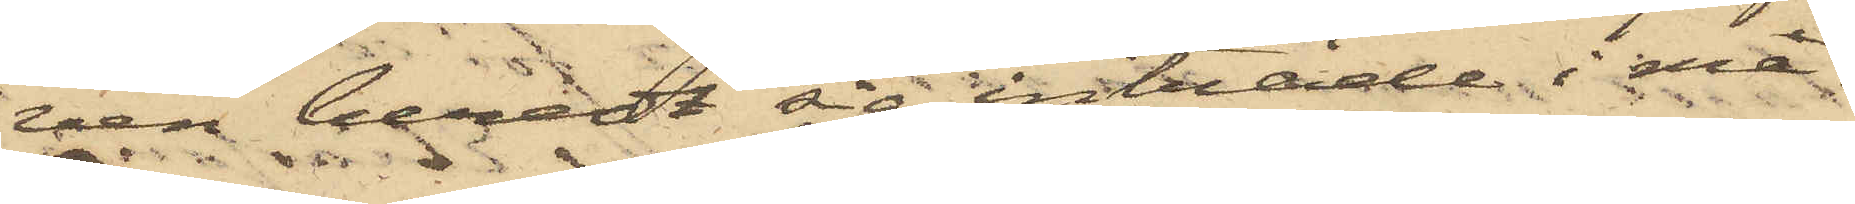ven beredt sig inträde i ma¬
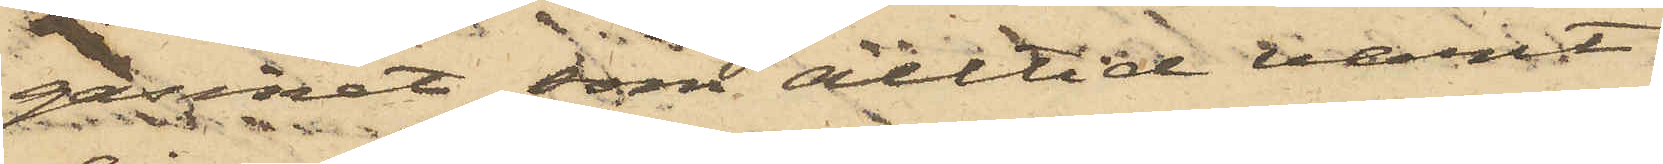gasinet, som alltid varit
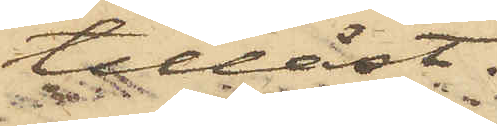tillåst.
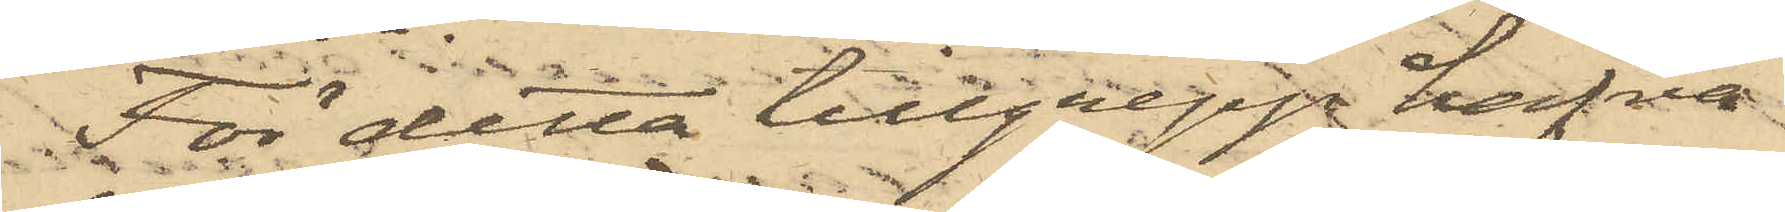För detta tillgrepp hafva
